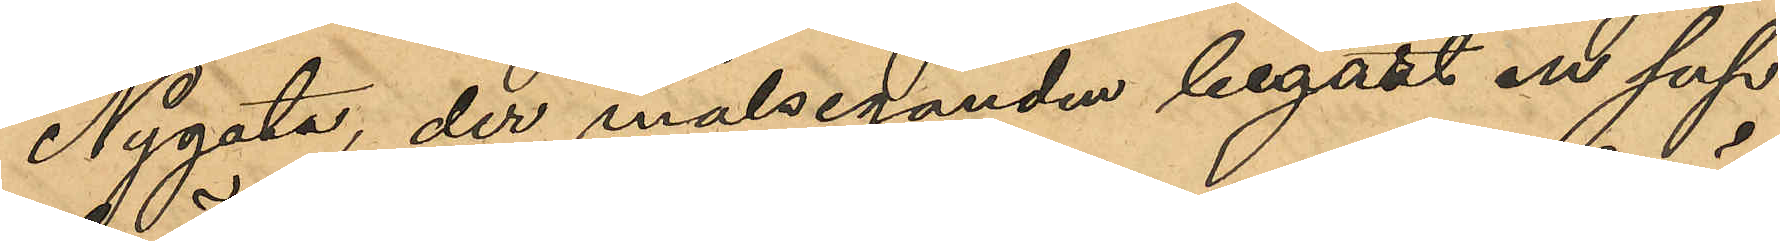Nygata, der målseganden begärt en sup
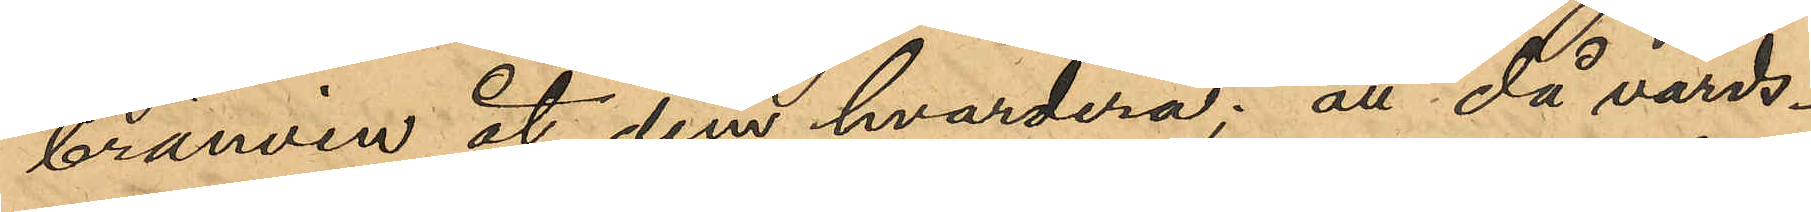brännvin åt dem hvardera; att då värds¬
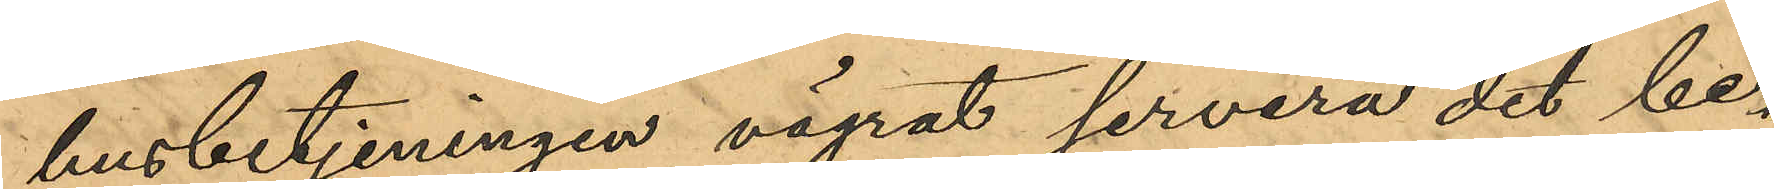husbetjeningen vägrat servera det be¬
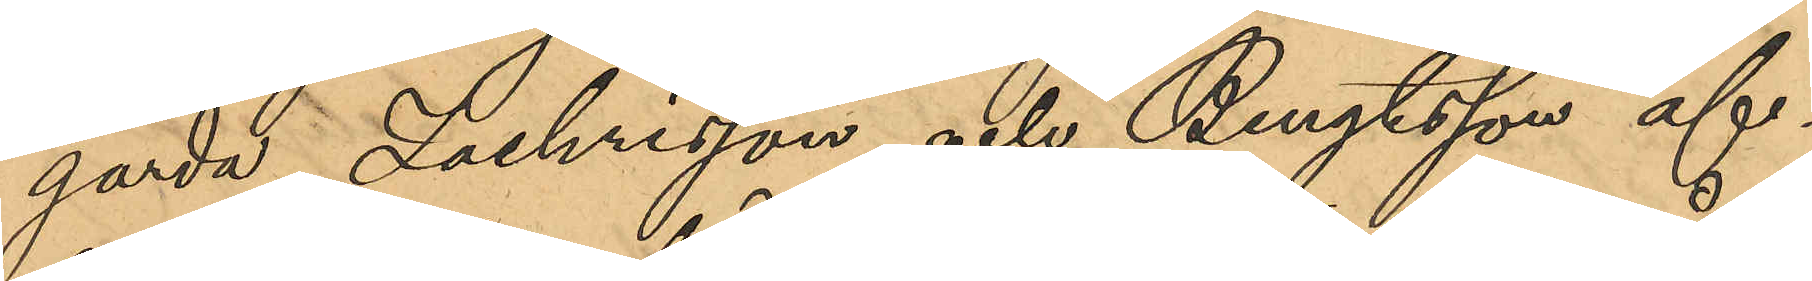gärda, Zachrisson och Bengtsson af¬
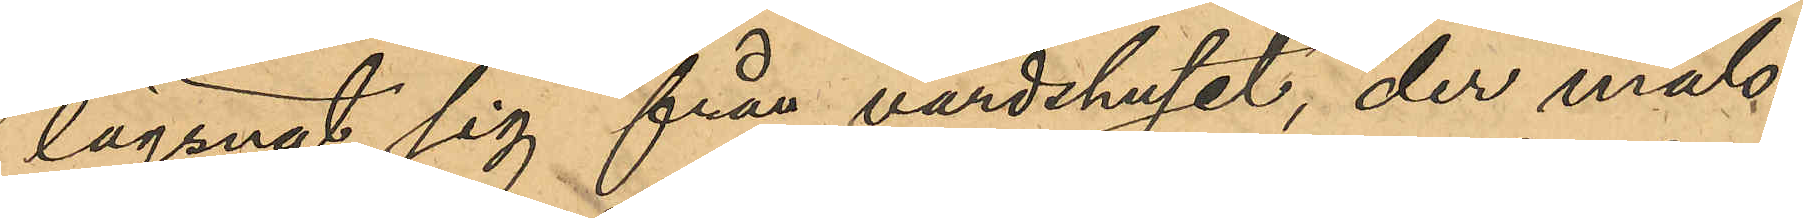lägsnat sig från värdshuset, der måls¬
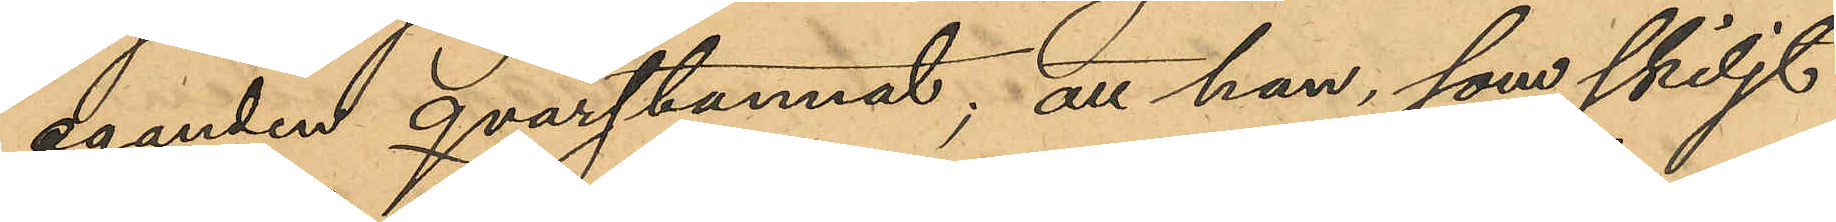eganden qvarstannat; att han, som skiljt
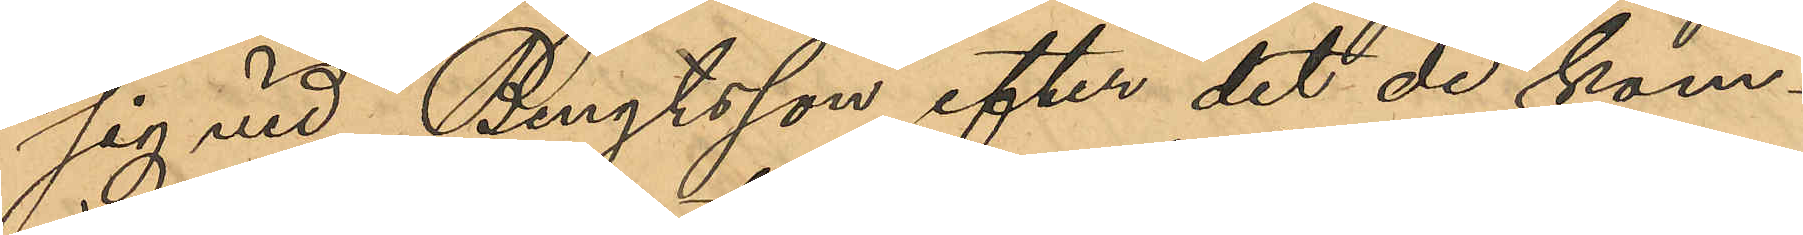sig vid Bengtsson efter det de kom¬
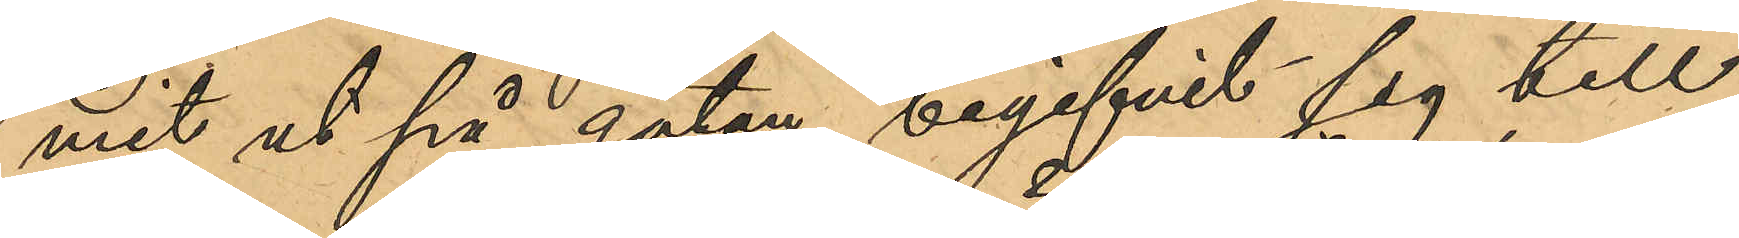mit ut på gatan, begifvit sig till
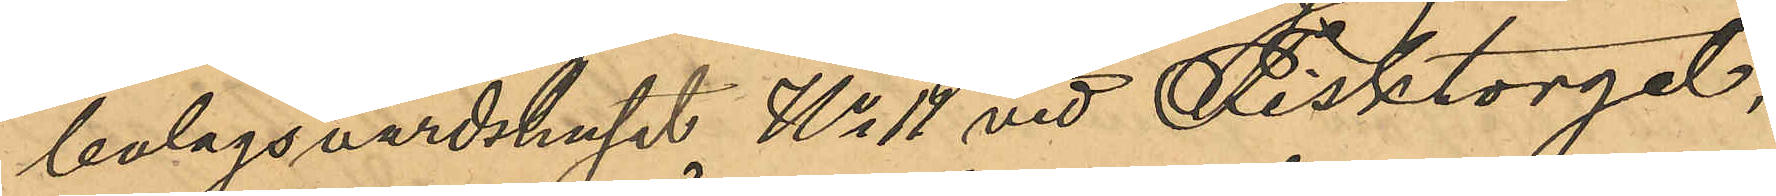bolagsvärdshuset No 11 vid Fisktorget,
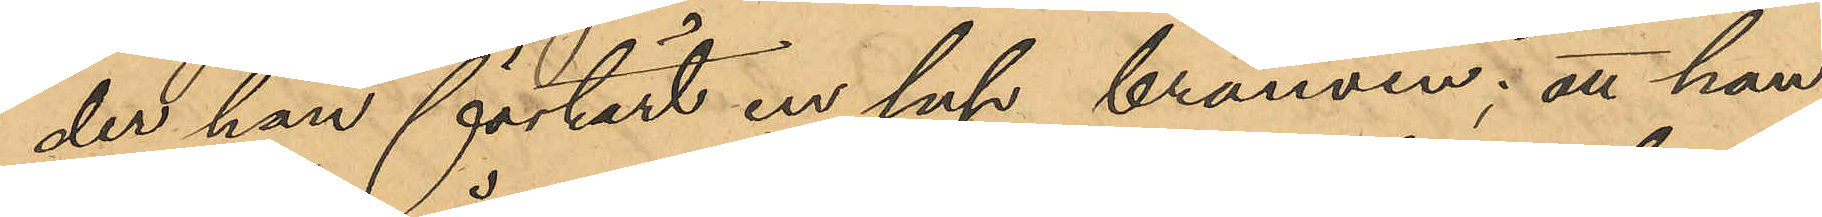der han förtärt en sup brännvin; att han
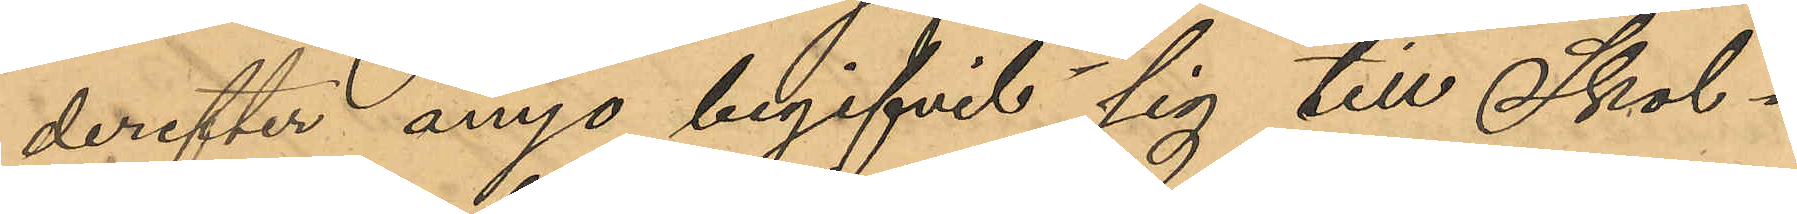derefter ånyo begifvit sig till Skol¬
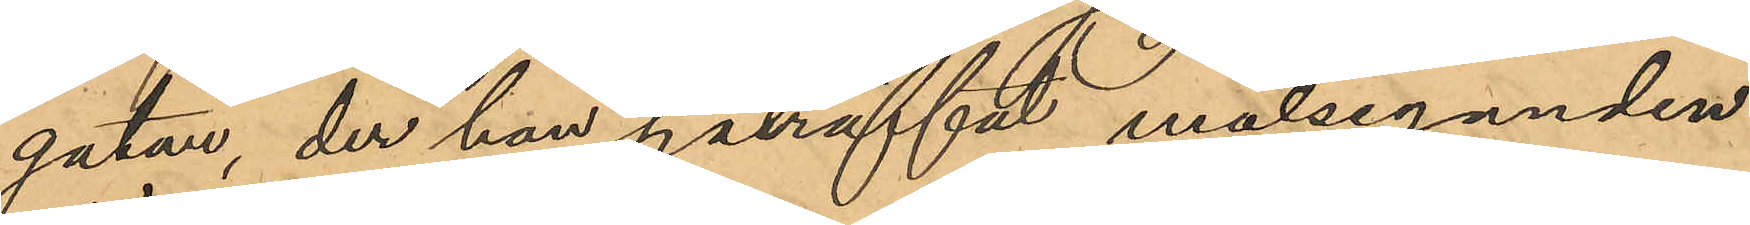gatan, der han påträffat målseganden
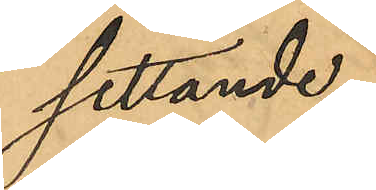sittande
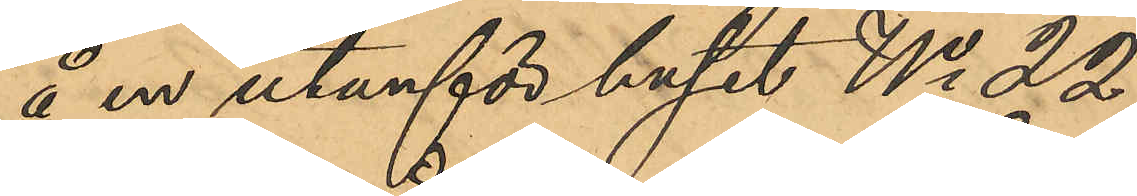å en utanför huset No 22
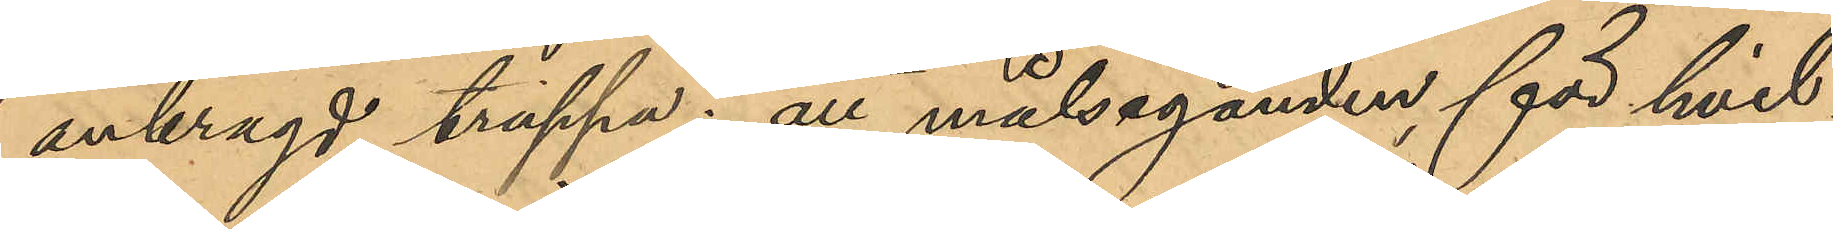anbragd trappa; att målseganden, för hvil¬
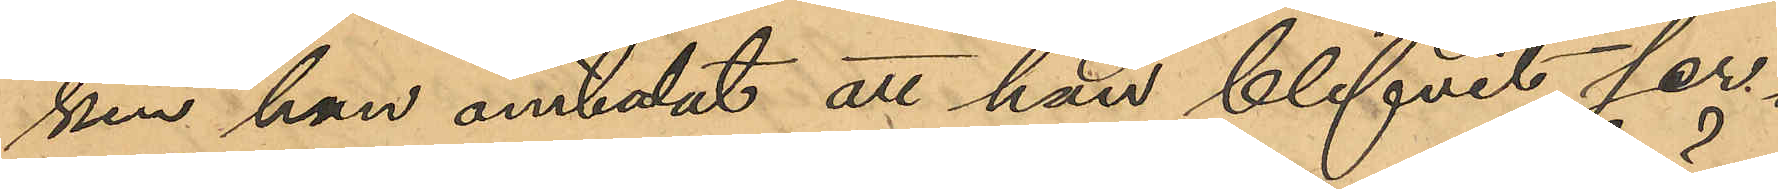ken han omtalat att han blifvit ser¬
